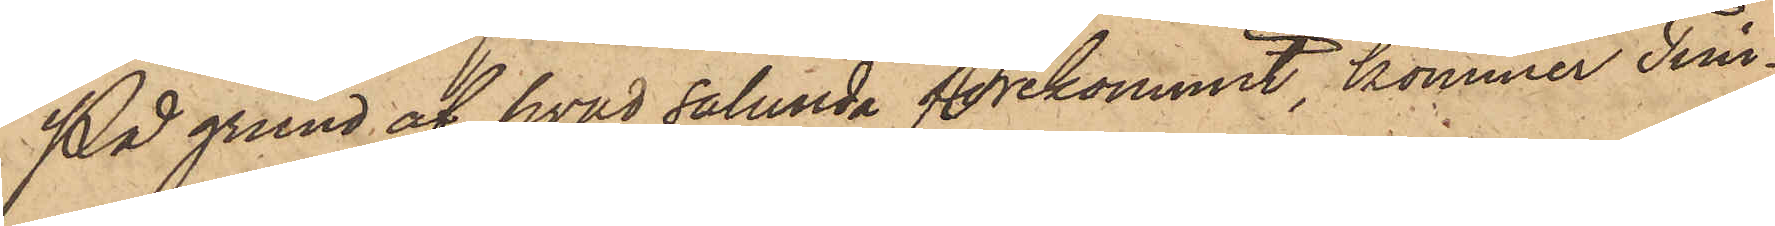På grund af hvad sålunda förekommit, kommer Tim¬
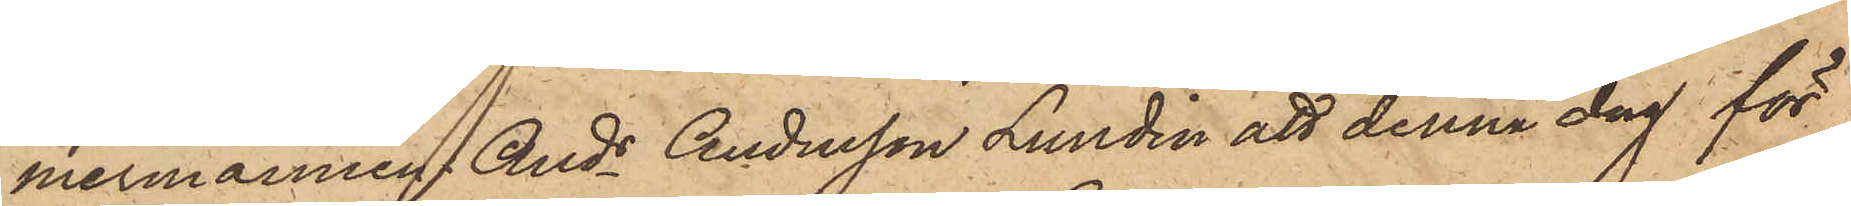mermannen Ands Andersson Lundin att denna dag för
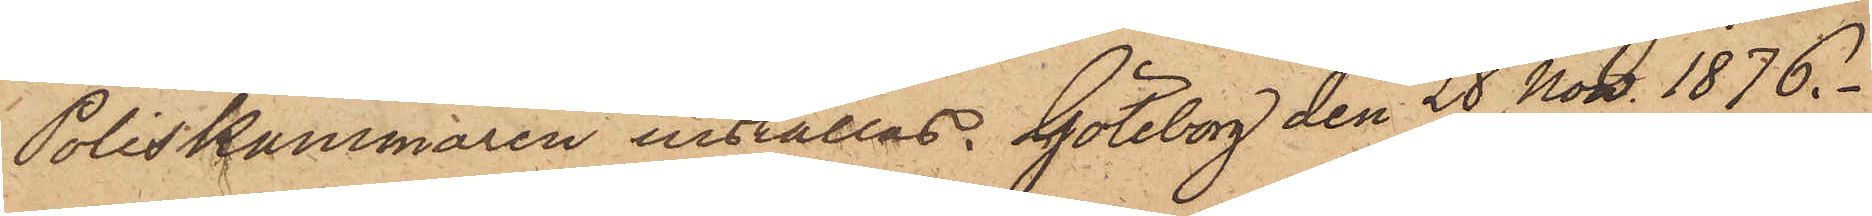Poliskammaren inställas. Göteborg den 28 Nov. 1876.
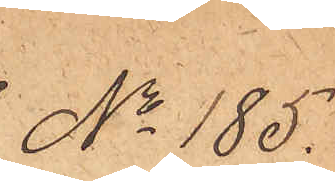No 185.
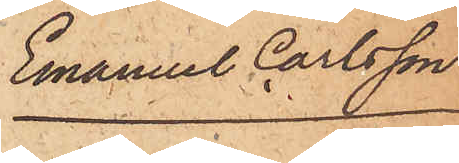Emanuel Carlsson
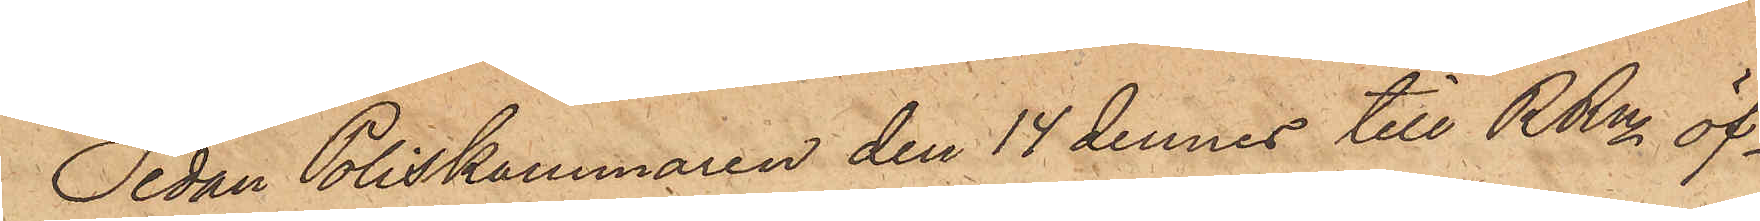Sedan Poliskammaren den 14 dennes till RRn öf¬
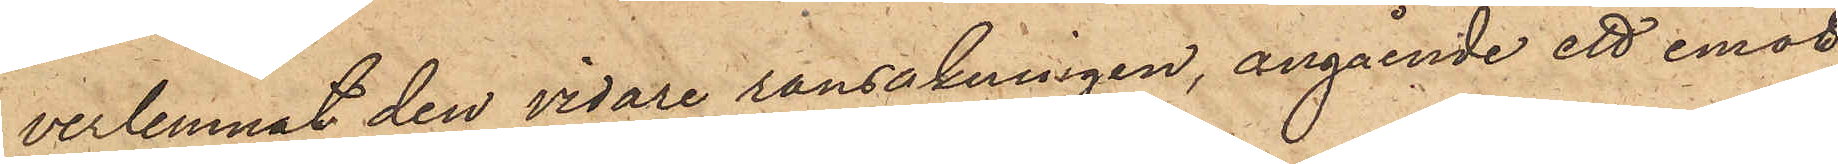verlemnat den vidare ransakningen, angående ett emot
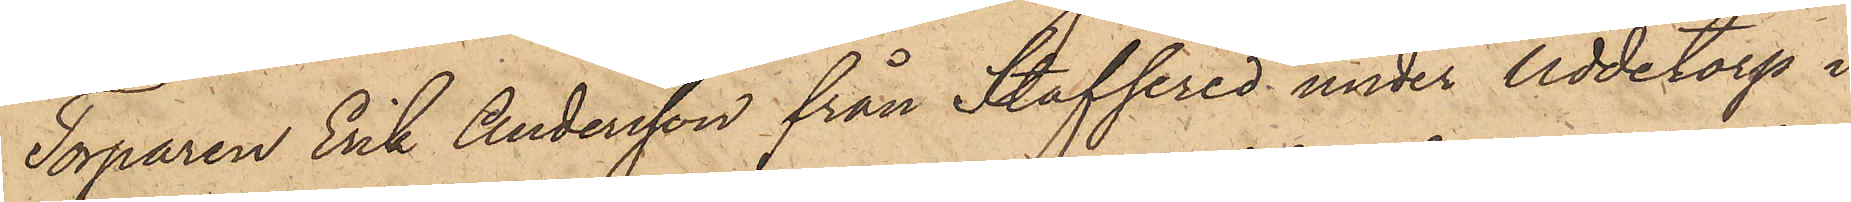Torparen Erik Andersson från Staffered under Uddetorp i
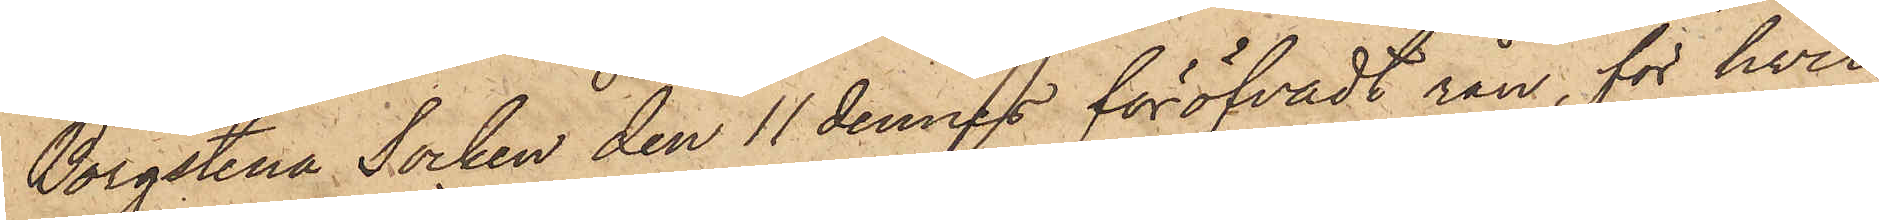Borgstena Socken den 11 dennes föröfvadt rån, för hwil¬
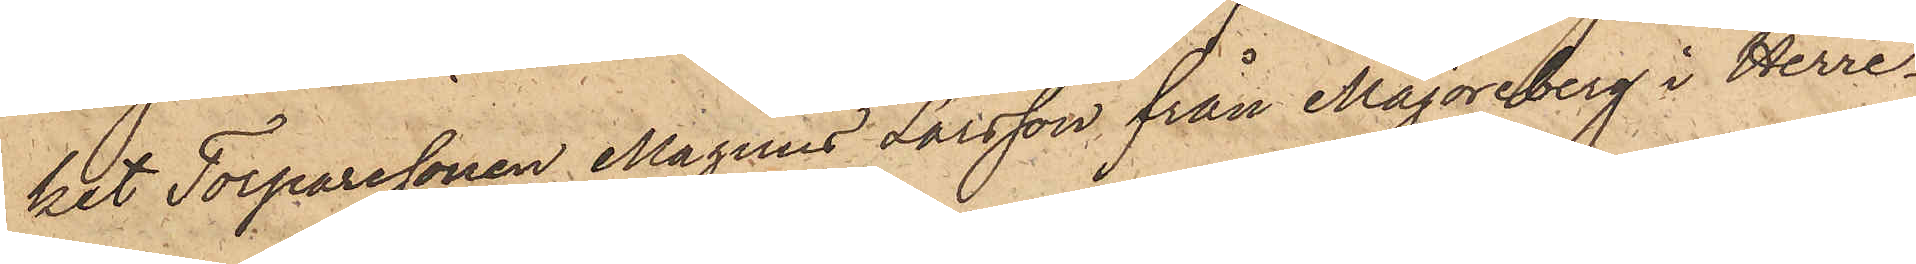ket Torparesonen Magnus Larsson från Majoreberg i Herre¬
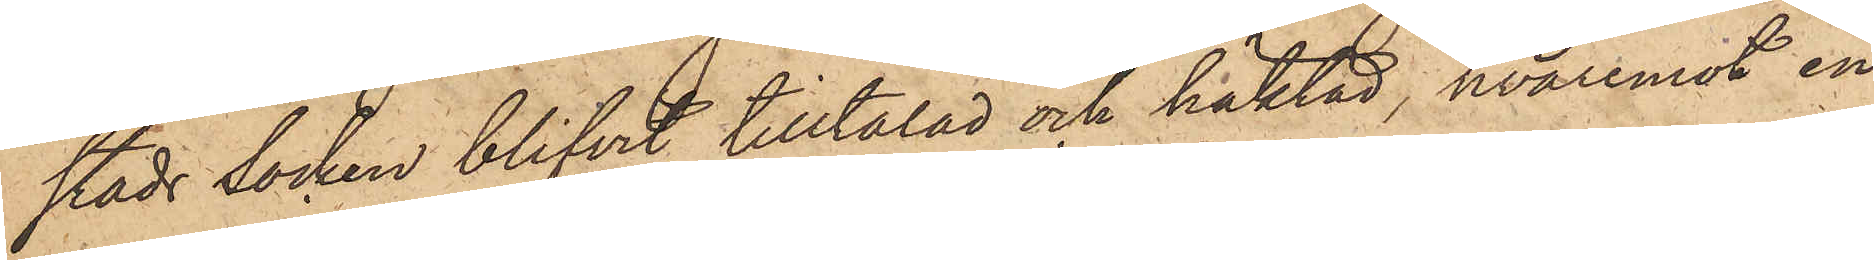stads socken blifvit tilltalad och häktad, hvaremot en
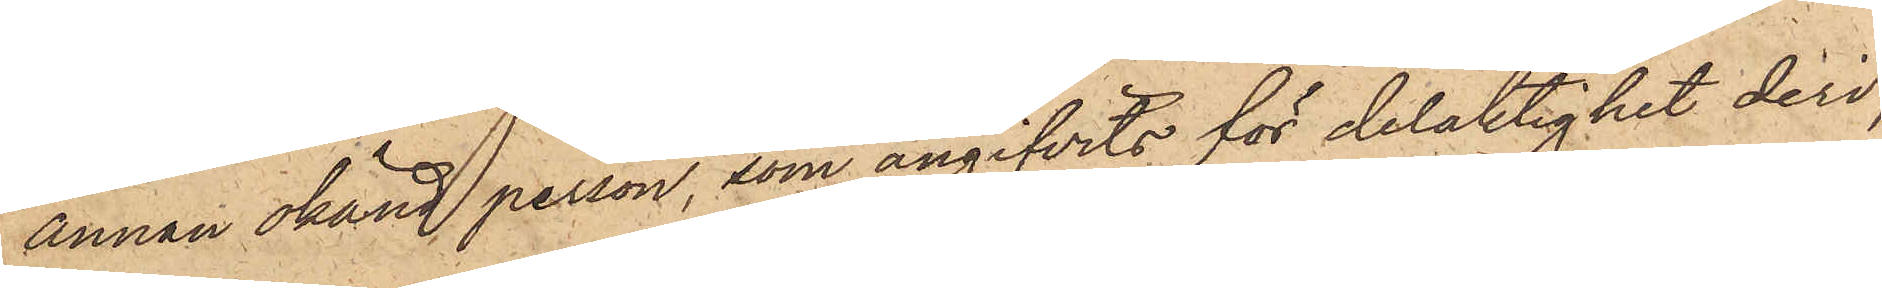annan okänd person, som angifvits för delaktighet deri,
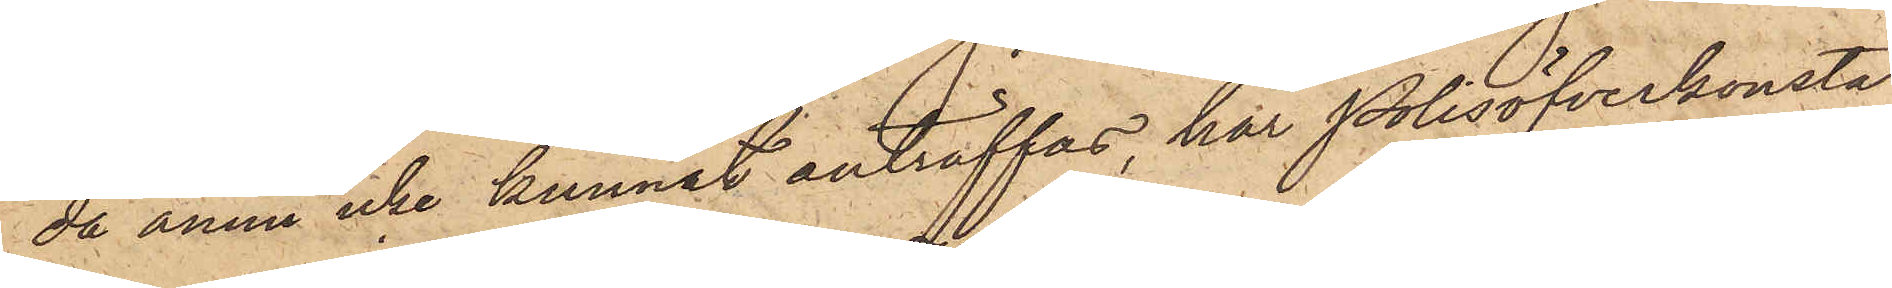då ännu icke kunnat anträffas, har Polisöfverkonsta¬
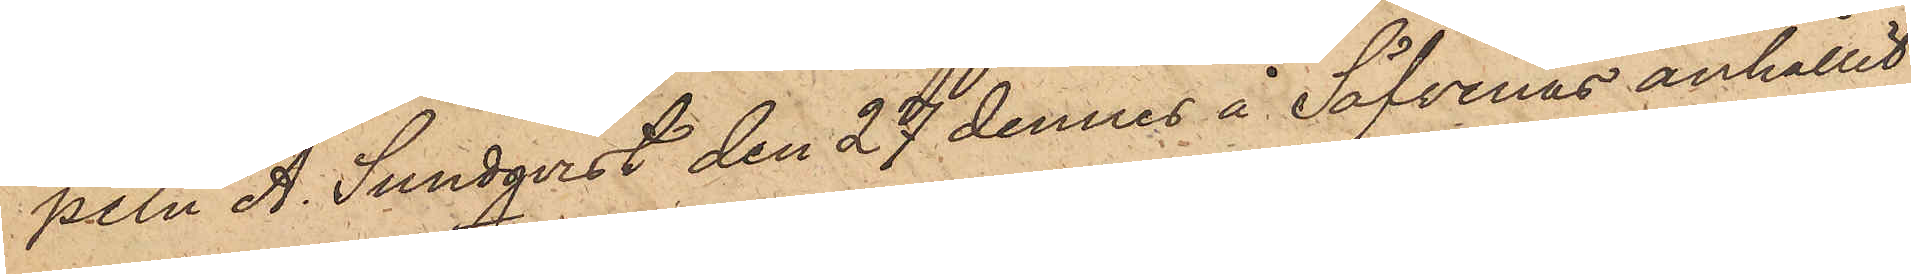peln A. Sundqvist den 27 dennes å Säfvenäs anhållit
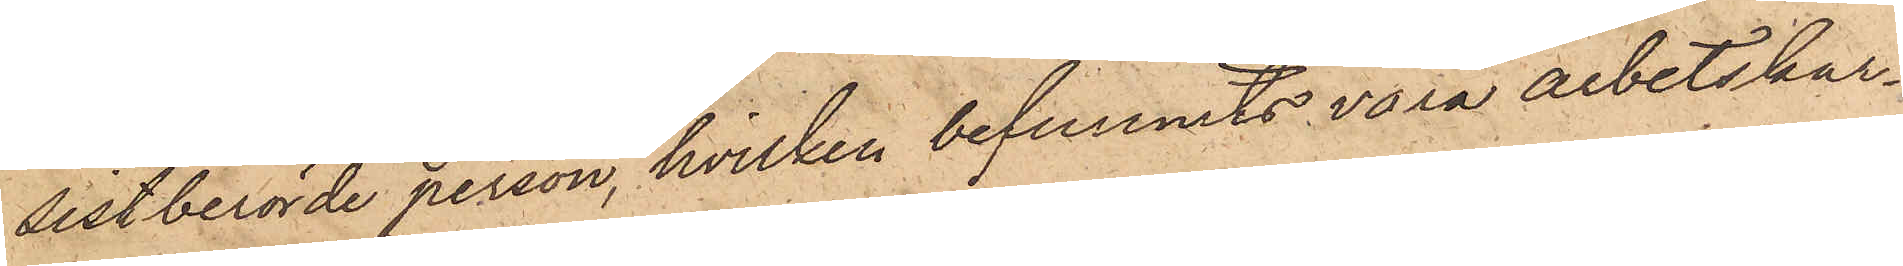sistberörde person, hvilken befunnits vara arbetskar¬
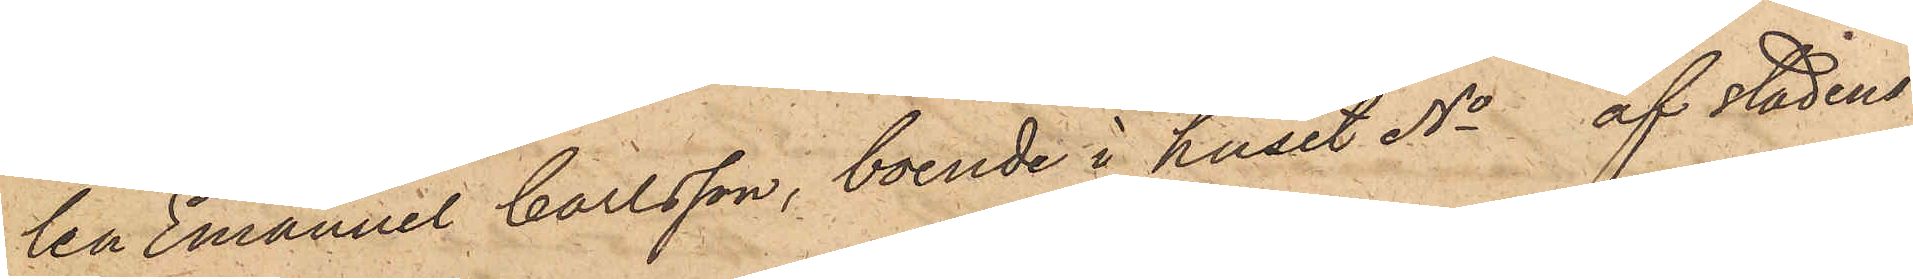len Emanuel Carlsson, boende i huset No af stadens
